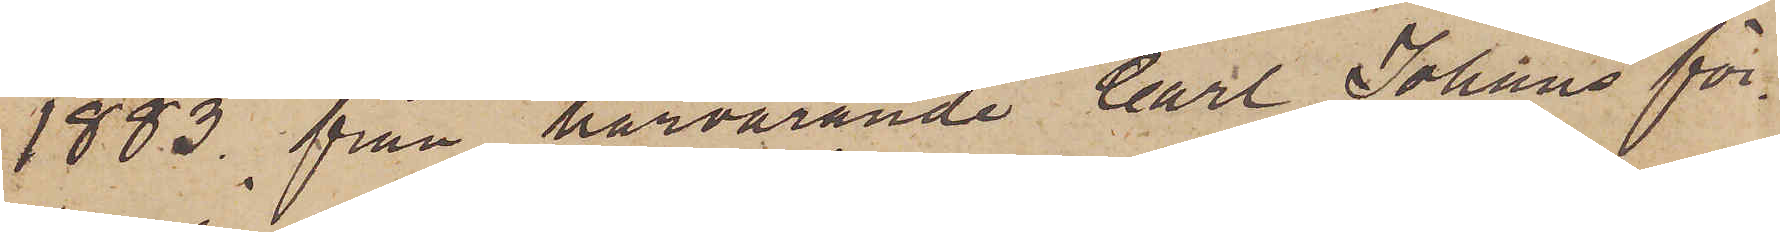1883 från härvarande Carl Johans för¬
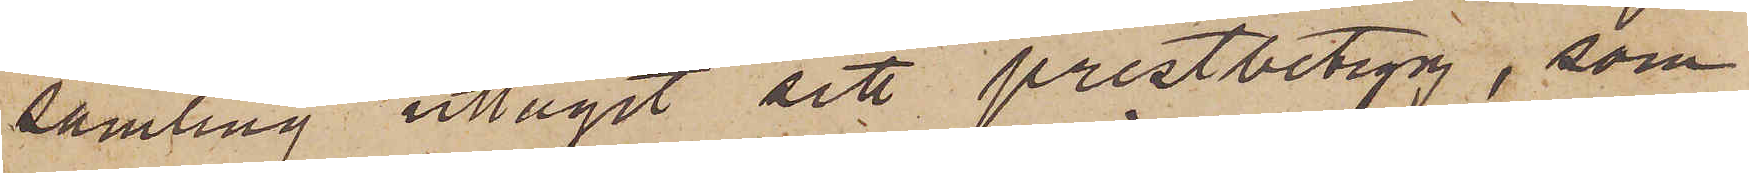samling uttagit sitt prestbetyg, som
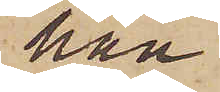han
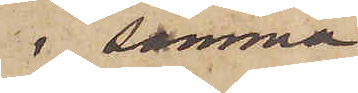i samma
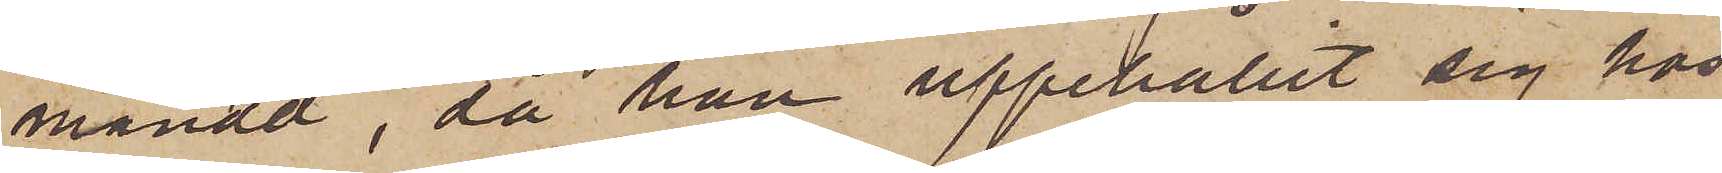månad, då han uppehållit sig hos
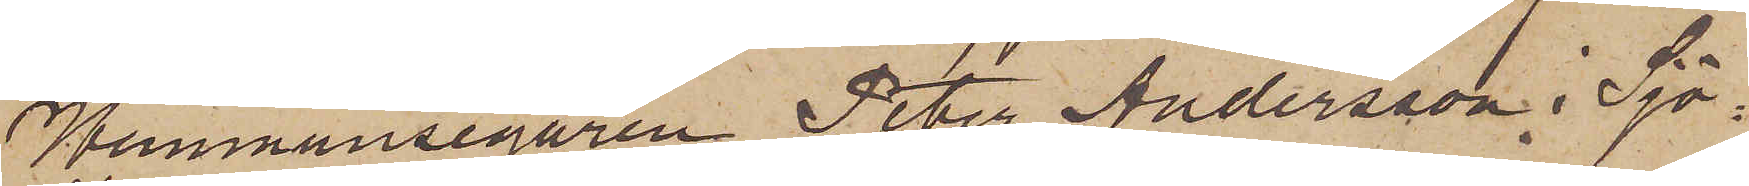Hemmansegaren Peter Andersson i Sjö¬
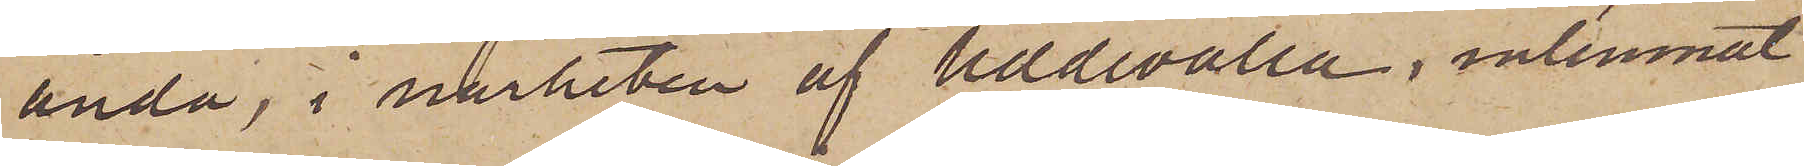ända, i närheten af Uddevalla, inlemnat
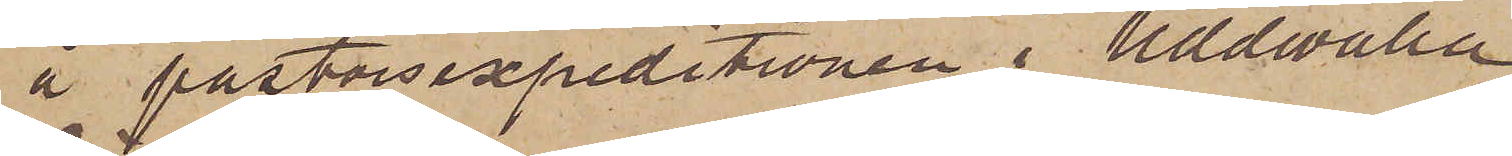å postorsexpeditionen i Uddewalla.
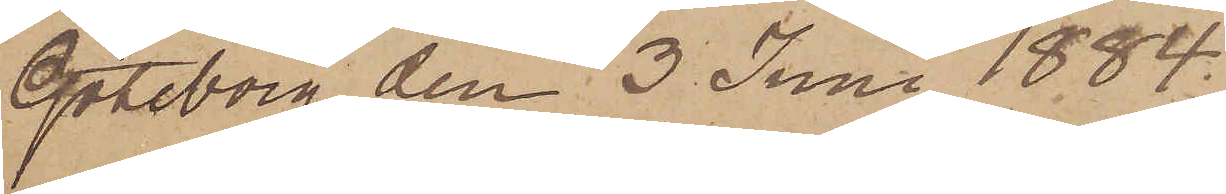Göteborg den 3 Juni 1884.
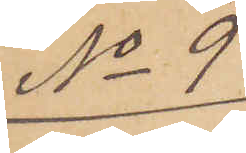No 9
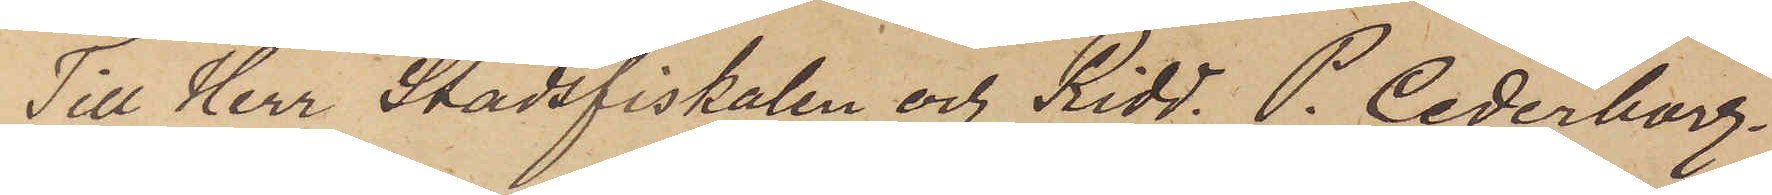Till Herr Stadsfiskalen och Ridd. P. Cederborg
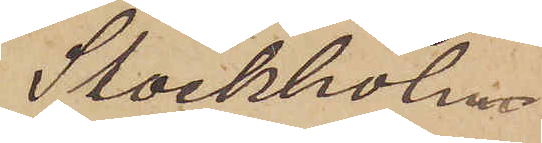Stockholm
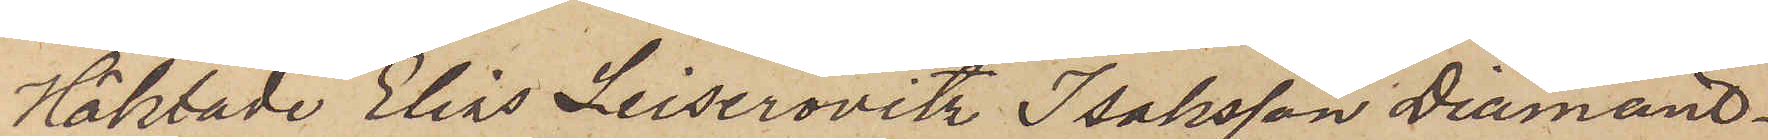Häktade Elias Leiserovitz Isaksson Diamant¬
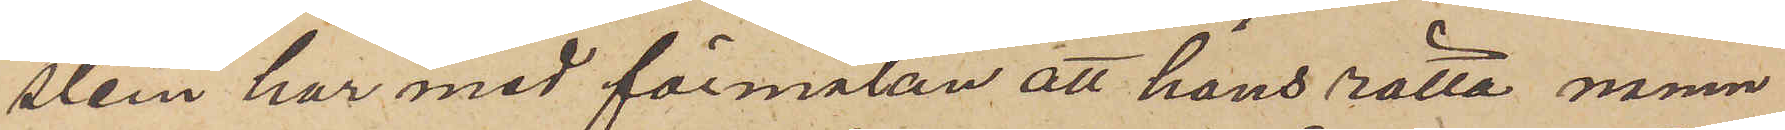stein har med förmälan att hans rätta namn
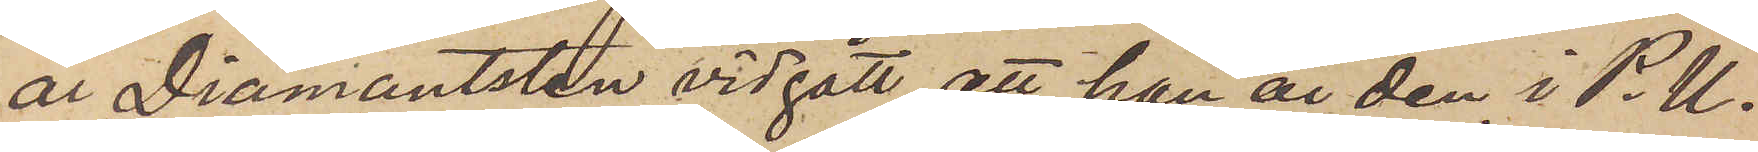är Diamantsten vidgått, att han är den i P.U.
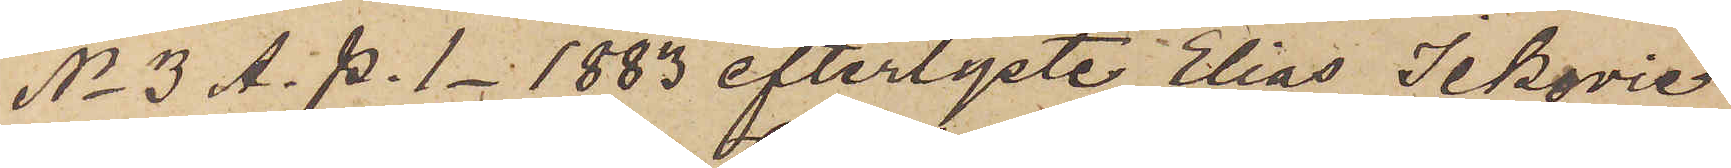No 3 A. P. 1 1883 efterlyste Elias Ickovie
